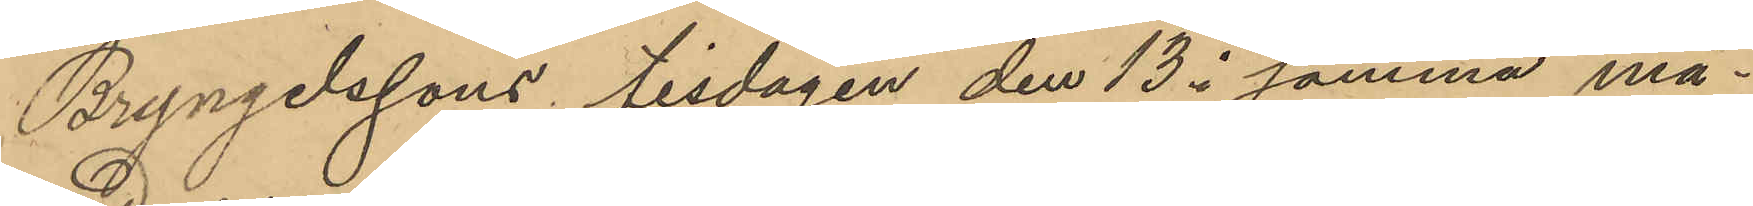Bryngelssons tisdagen den 13 i samma må¬
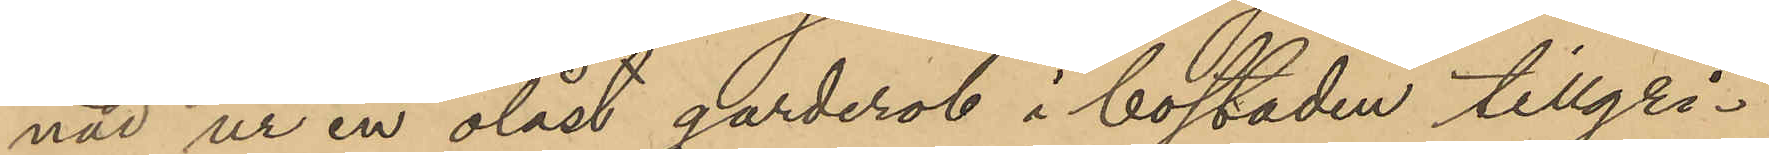nad ur en olåst garderob i bostaden tillgri¬
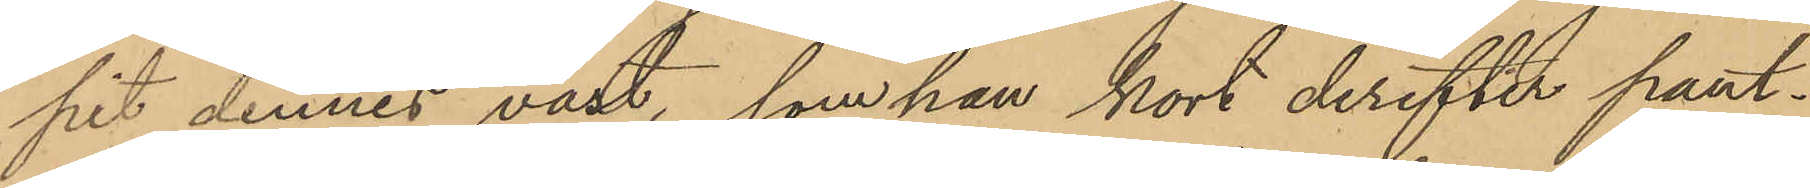pit dennes väst, som han kort derefter pant¬
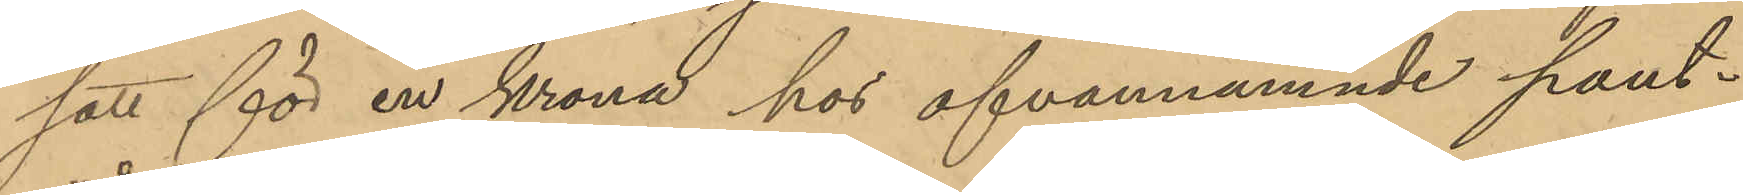satt för en krona hos ofvannämnde pant¬
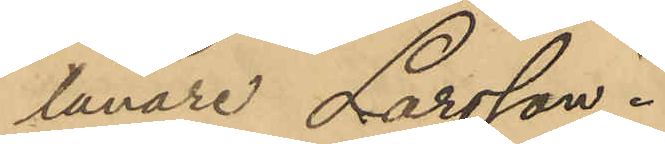lånare Larsson.
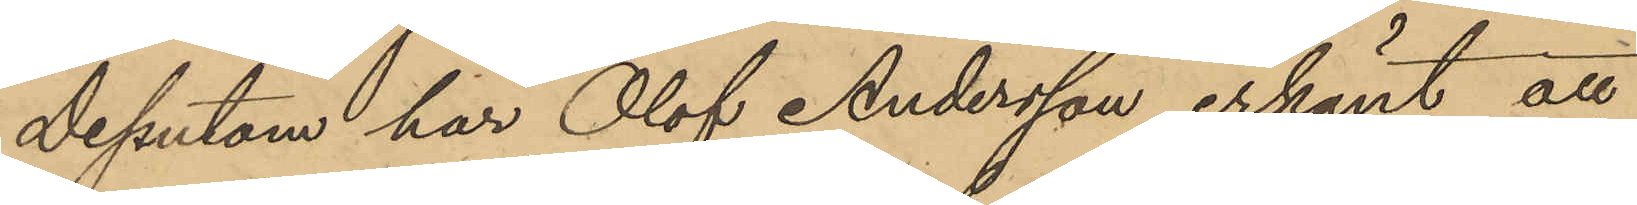Dessutom har Olof Andersson erkänt att
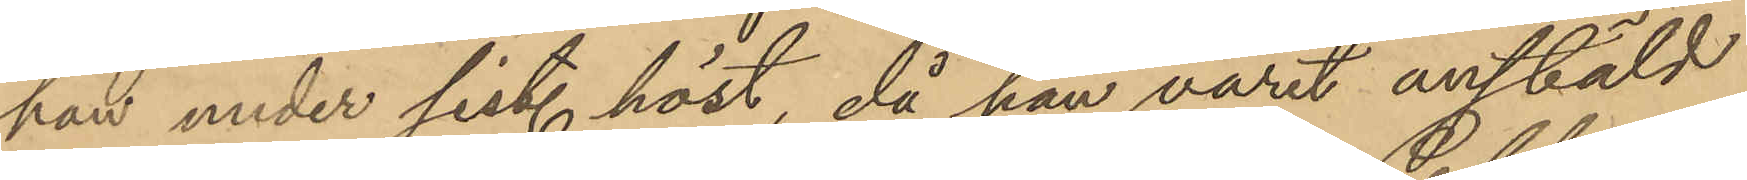han under sist. höst, då han varit anstäld
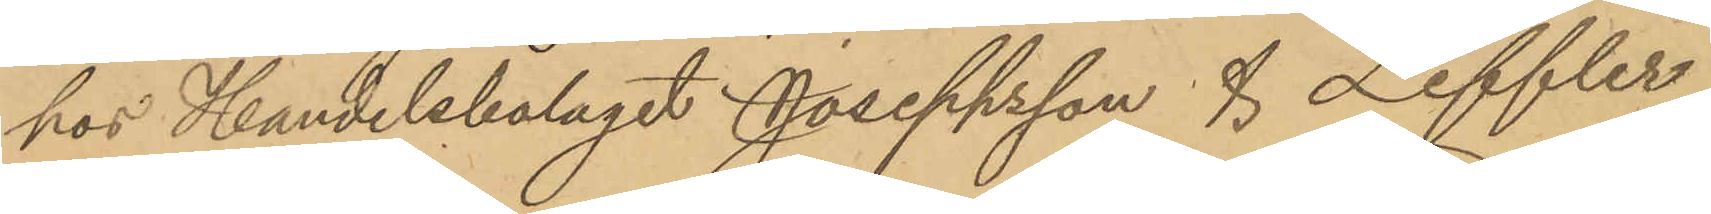hos Handelsbolaget Joseppsson & Leffler,
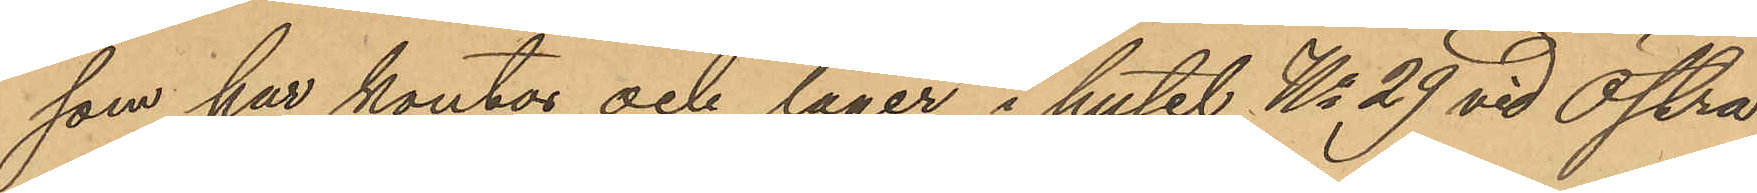som har kontor och lager i huset No 29 vid Östra
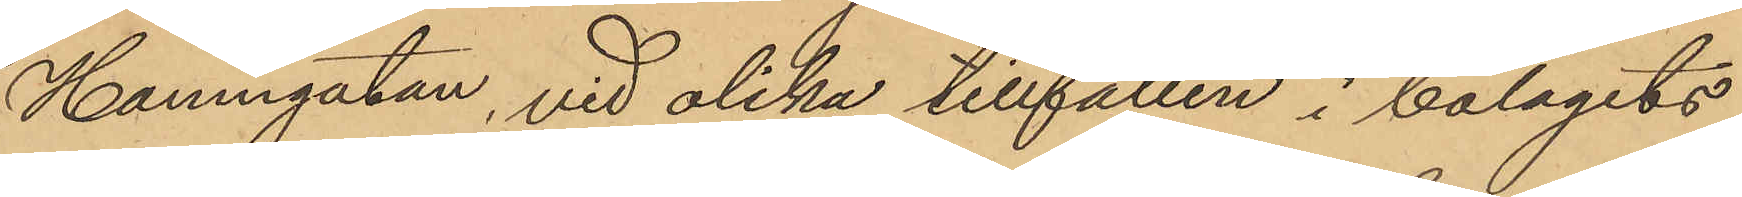Hamngatan, vid olika tillfällen i bolagets
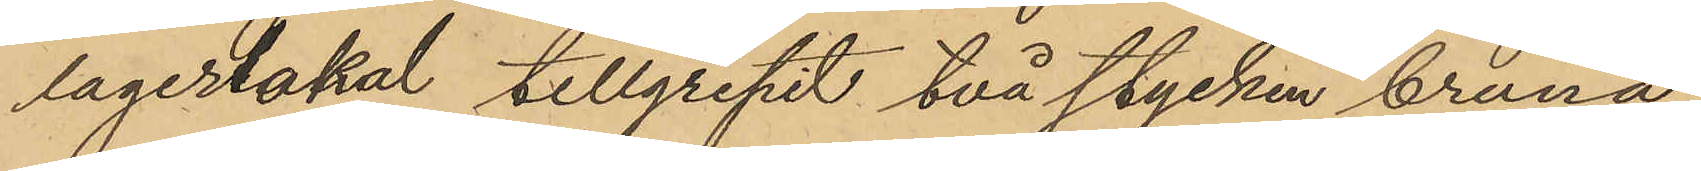lagerlokal tillgripit två stycken bruna
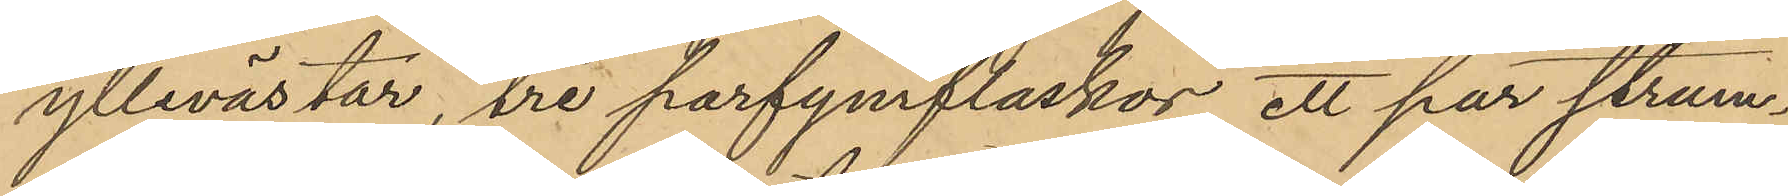yllevästar, tre parfymflaskor, ett par strum¬
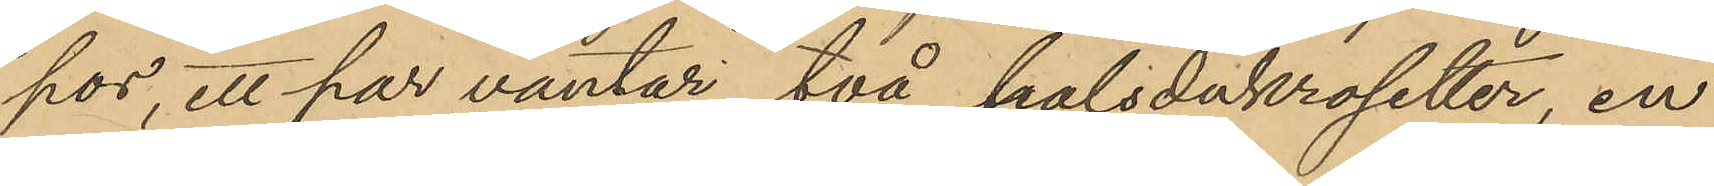por, ett par vantar, två halsdukrosetter, en
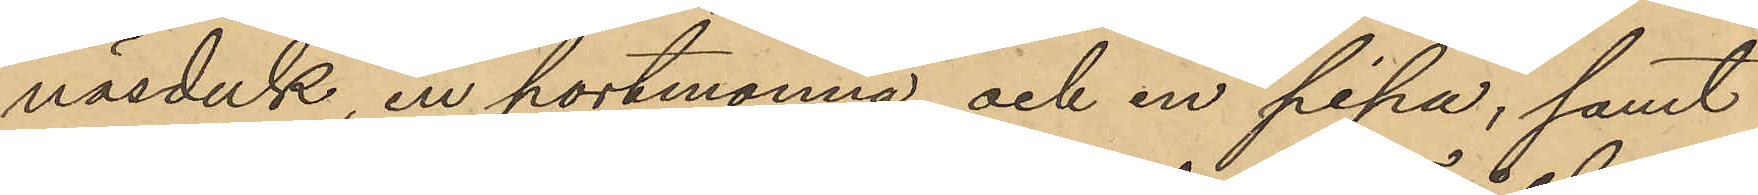näsduk en portmonnä och en pipa, samt
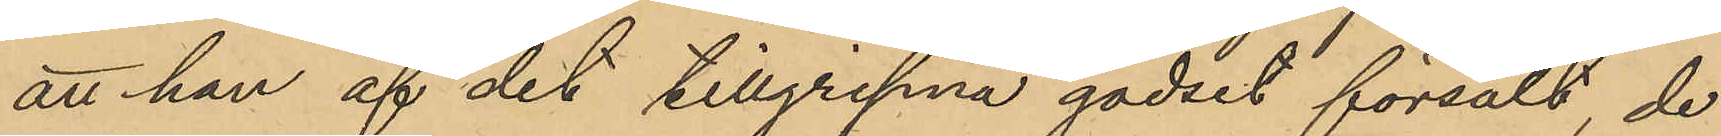att han af det tillgripna godset försålt, de
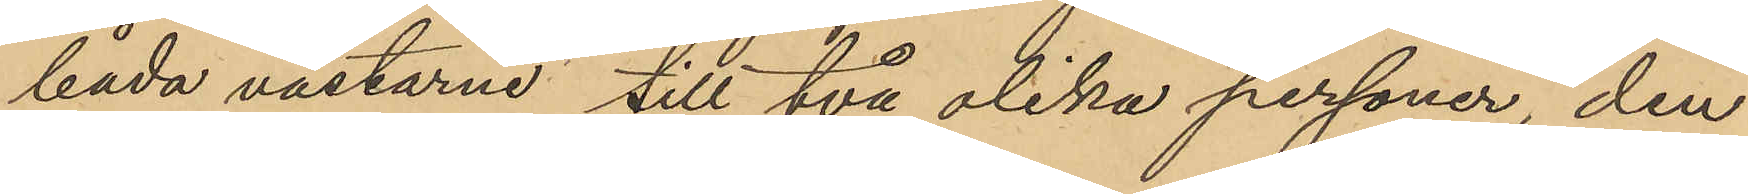båda västarne till två olika personer, den
